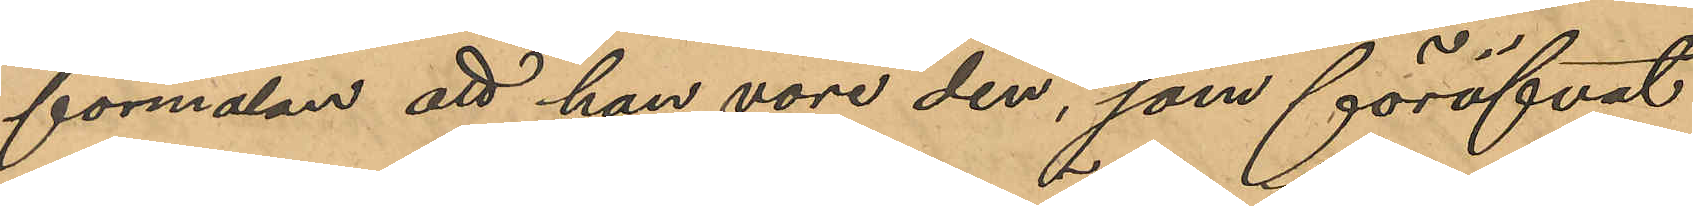förmälan att han vore den, som föröfvat
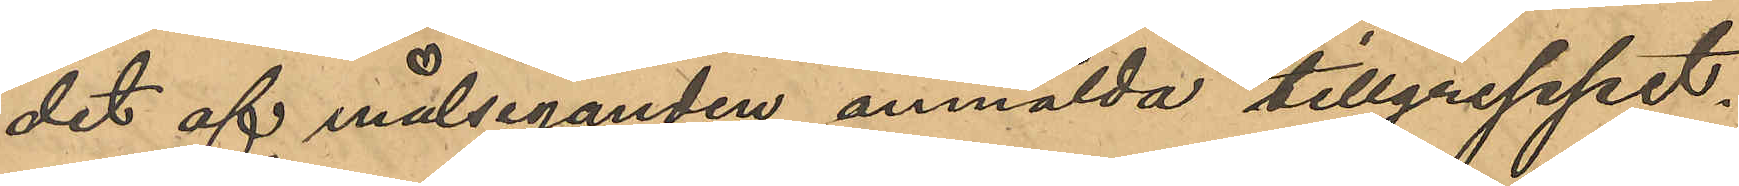det af måleganden anmälda tillgreppet.
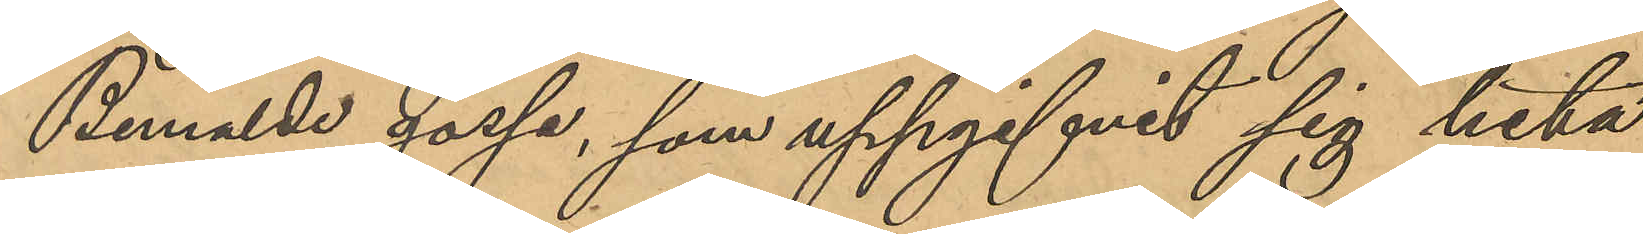Bemälde gosse, som uppgifvit sig heta 
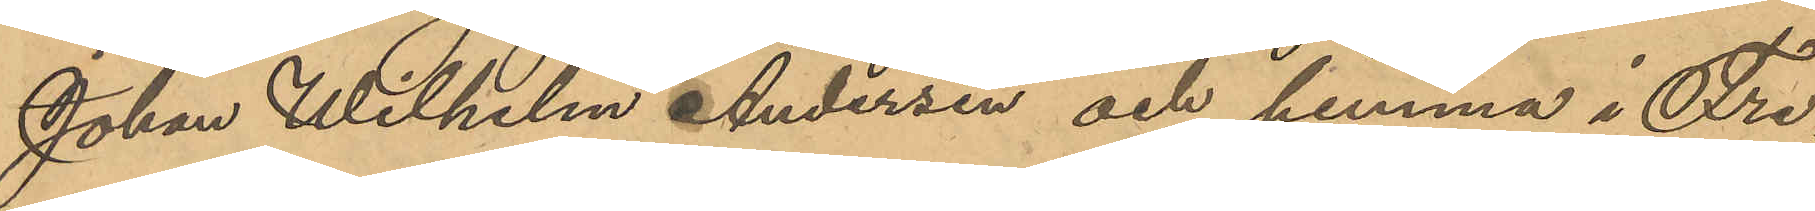Johan Wilhelm Andersen och hemma i Fre¬
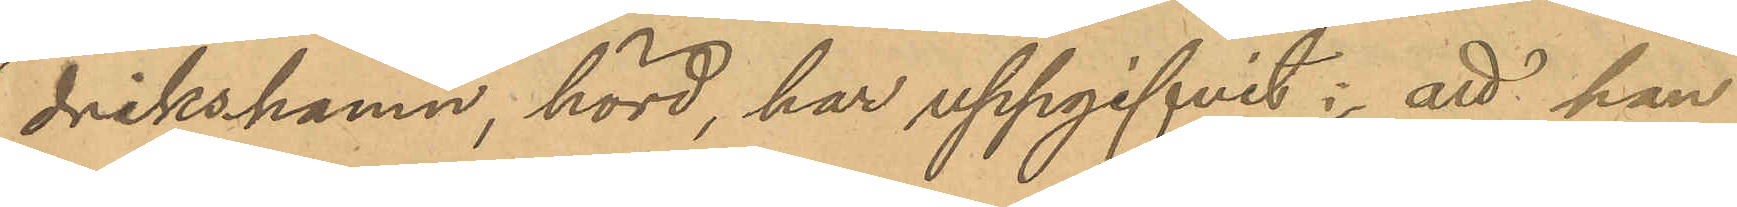drikshamn, hörd, har uppgifvit; att han
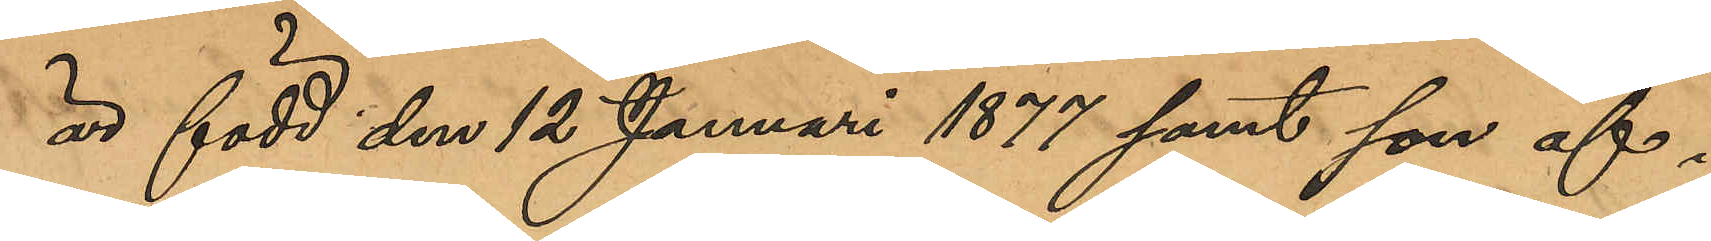är född den 12 Januari 1877 samt son af i
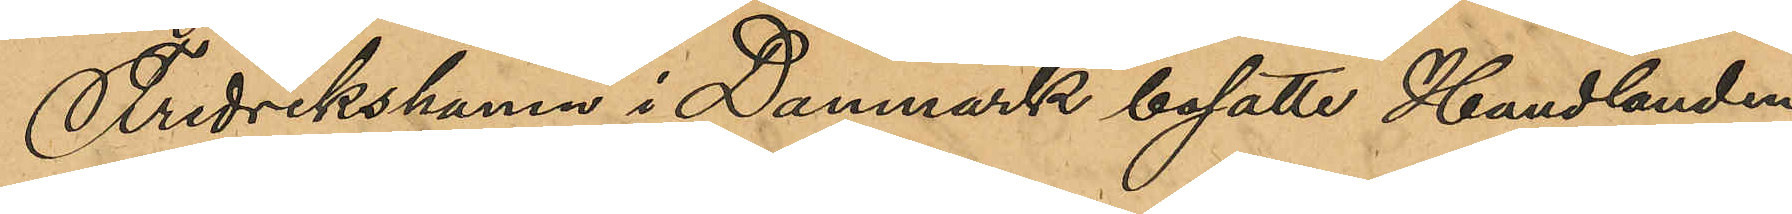Fredrikshamn i Danmark bosatte Handlanden
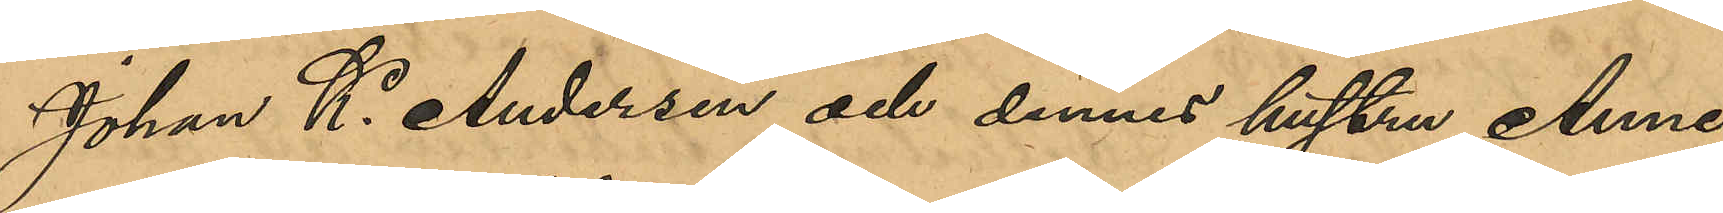Johan K. Andersen och dennes hustru Anne,
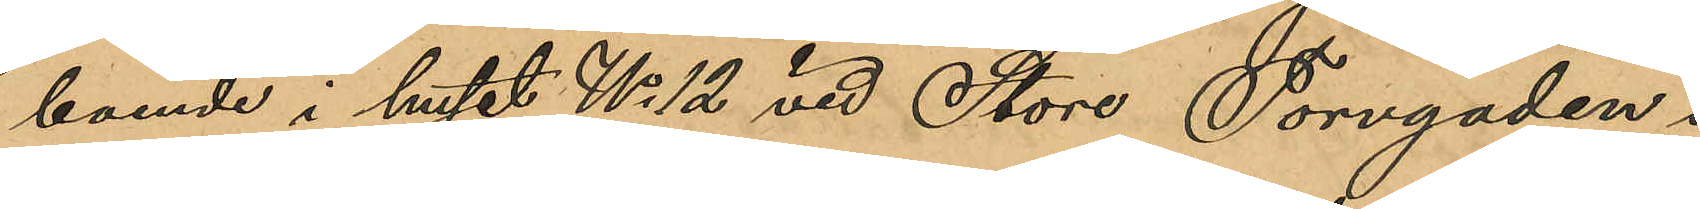boende i huset No 12 vid Store Torvgaden i
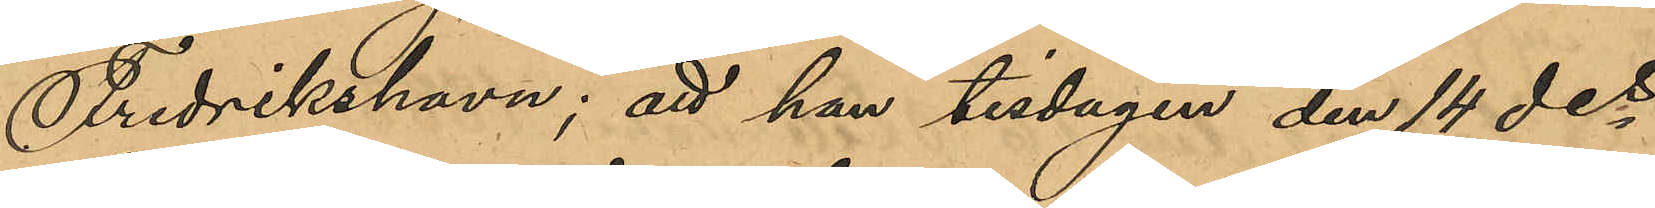Fredrikshavn; att han tisdagen den 14  des
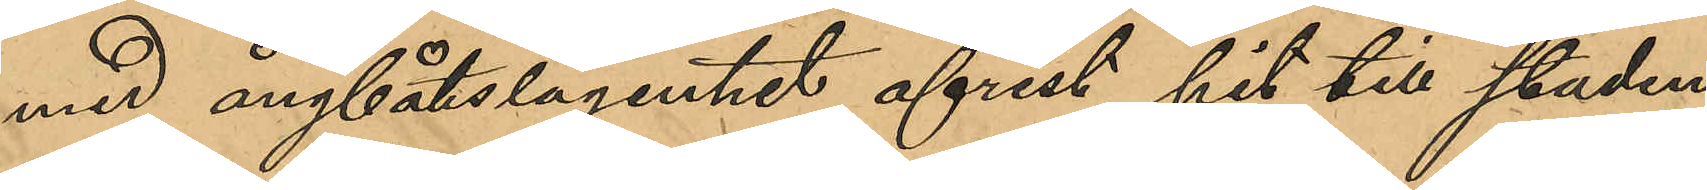med ångbåtslägenhet afrest hit till staden
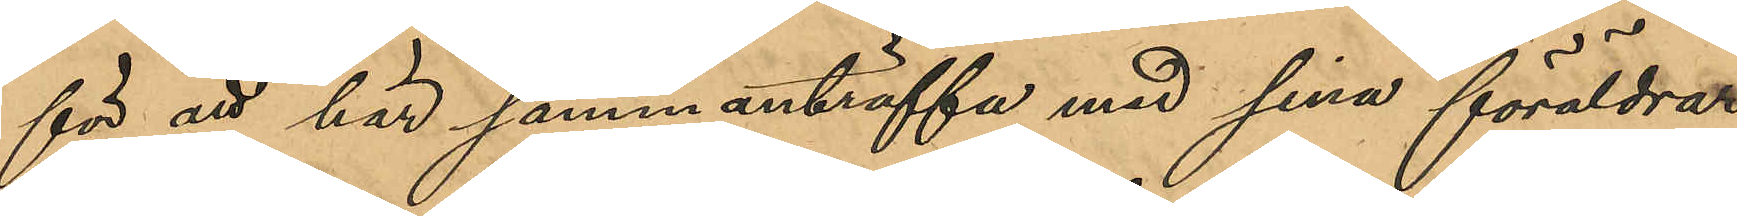för att här sammanträffa med sina föräldrar,
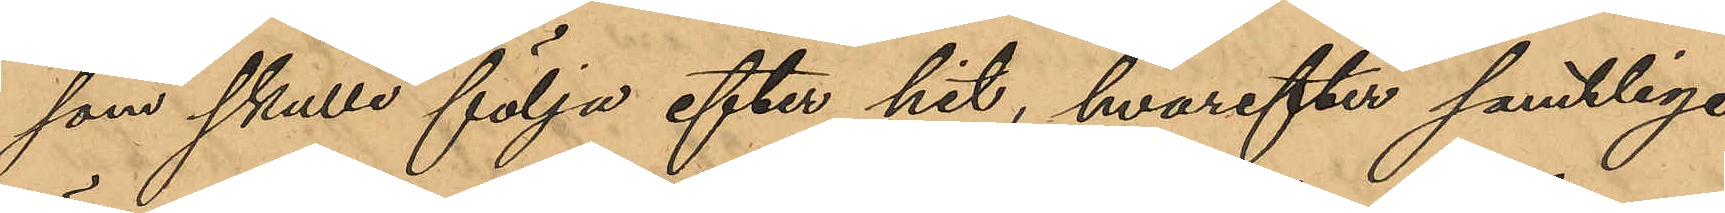som skulle följa efter hit, hvarefter samtliga
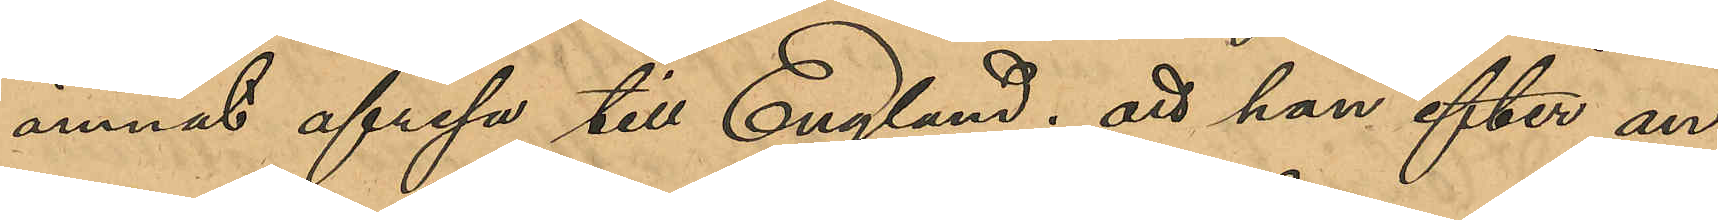ämnat afresa till England; att han efter an¬
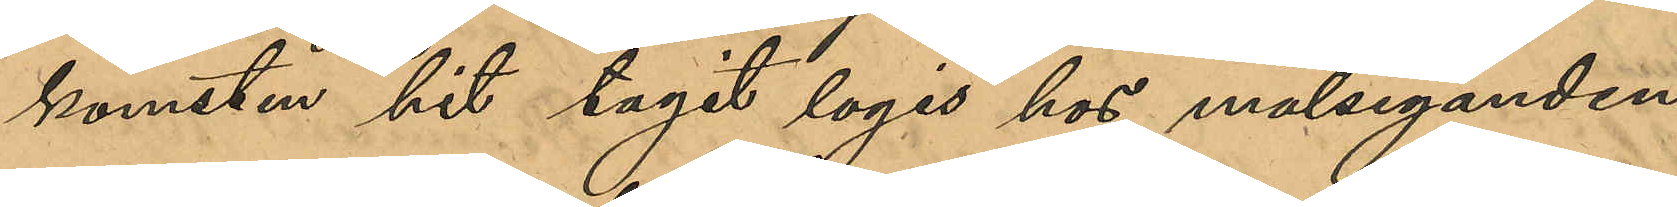komsten hit tagit logis hos målseganden,
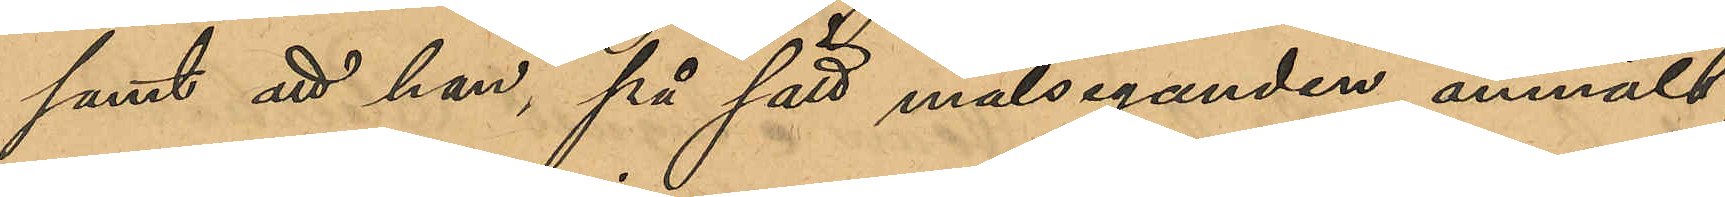samt att han, på sätt målseganden anmält,
